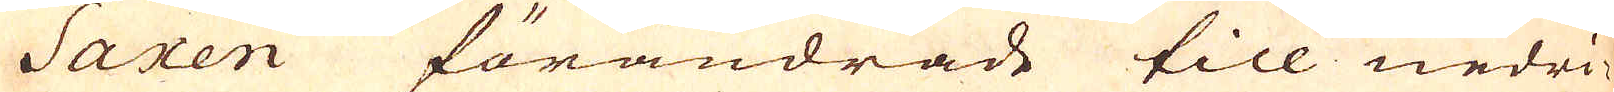Saxen förändrade till nedri-
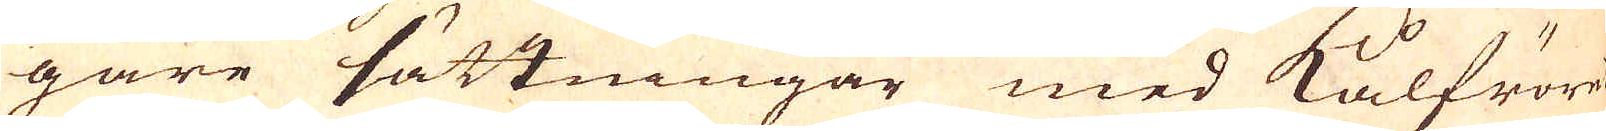gare sättningar med Kålfröret
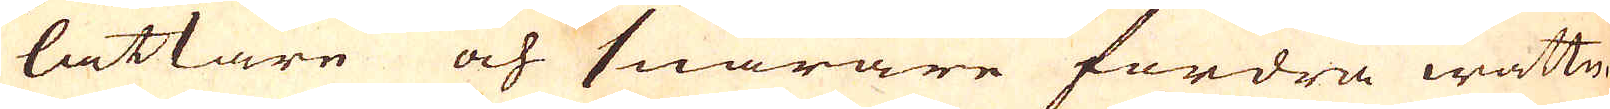lättare och snarare fordra wattn
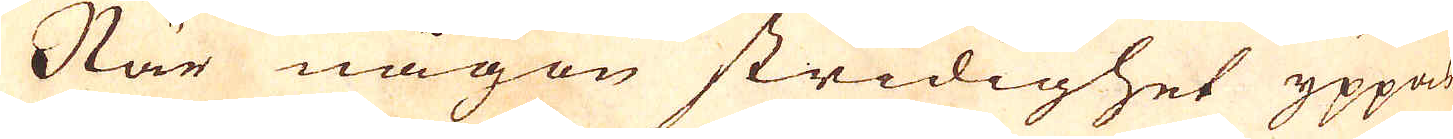När någon stridighet yppar
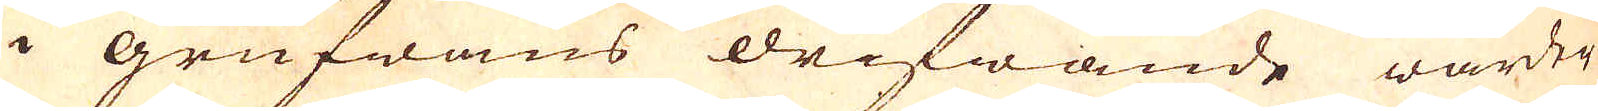i grufwans drifwande warder
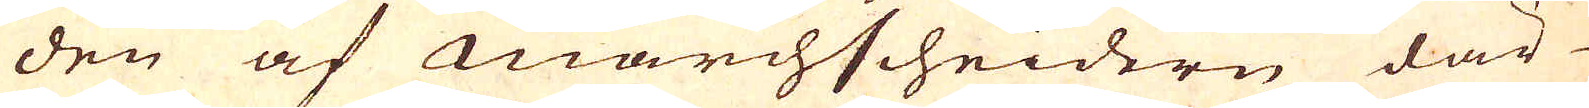den af marchscheidern där
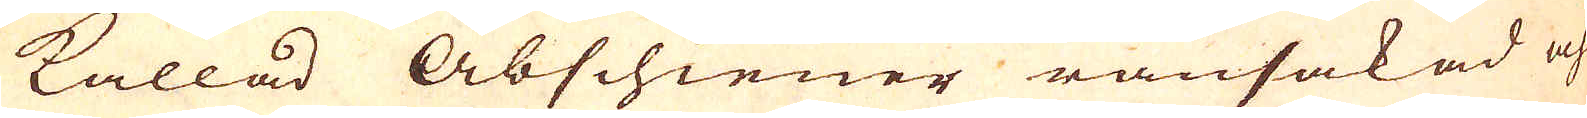kallad Abschiener ransakad och
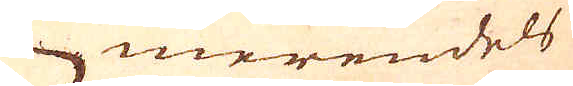merendels
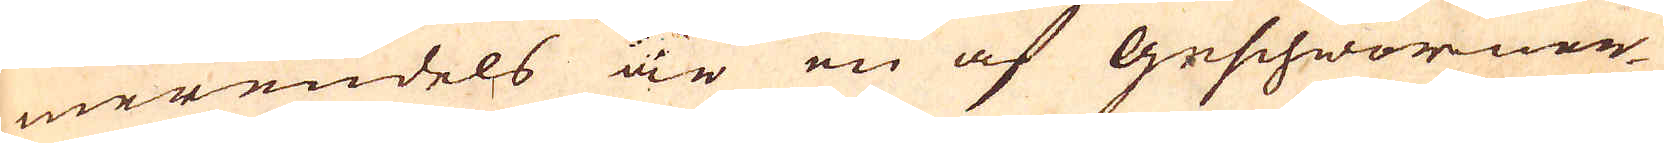merendels är en af Geschworner-
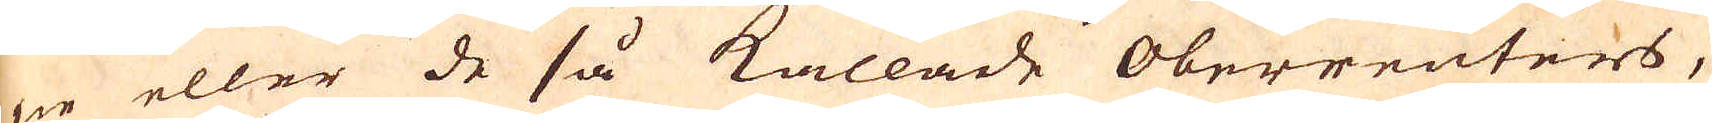ne eller de så kallade Oberreutners,
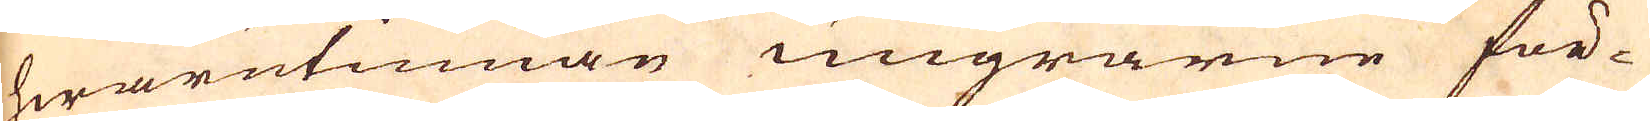hwarutinnan ungrarne för-
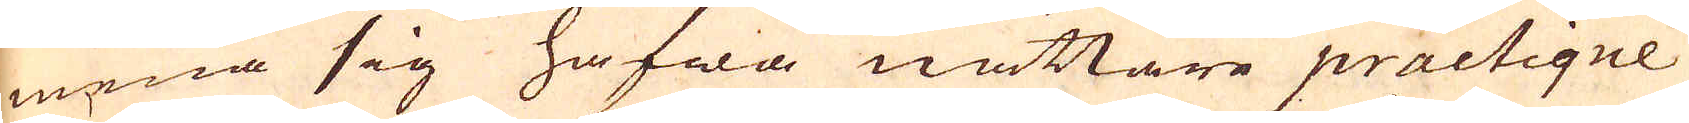mena sig hafwa nättare practique
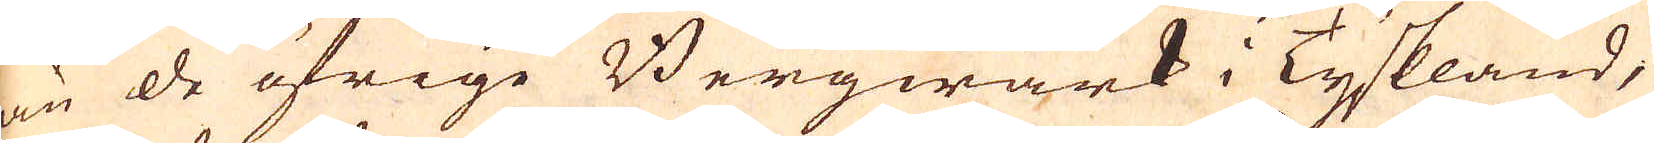än de öfrige Bergwärk i Tyskland,
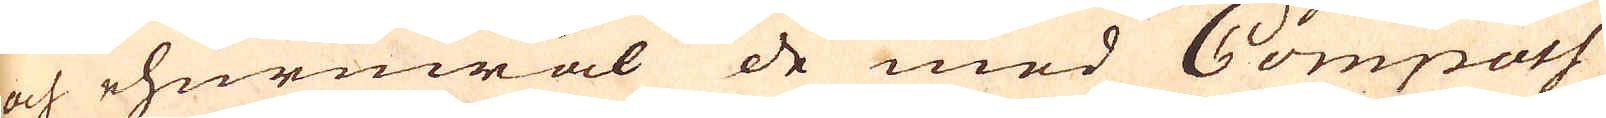och ehuruwäl de med Compass
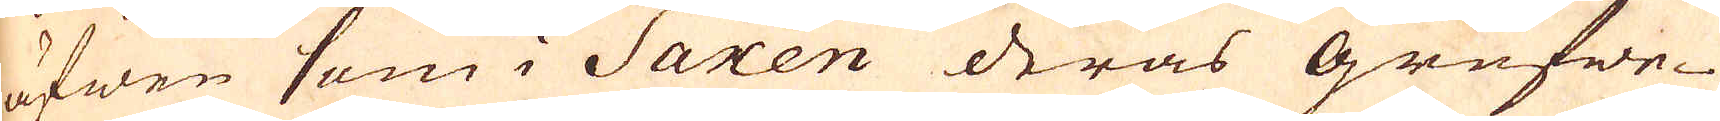äfwen som i Saxen deras grufwe-
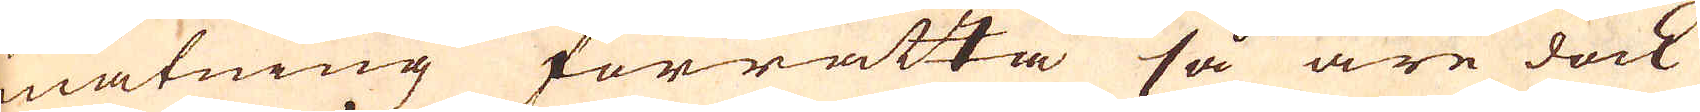mätning förrätta så äre dock
